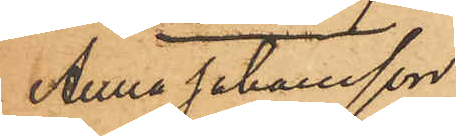Anna Johansson
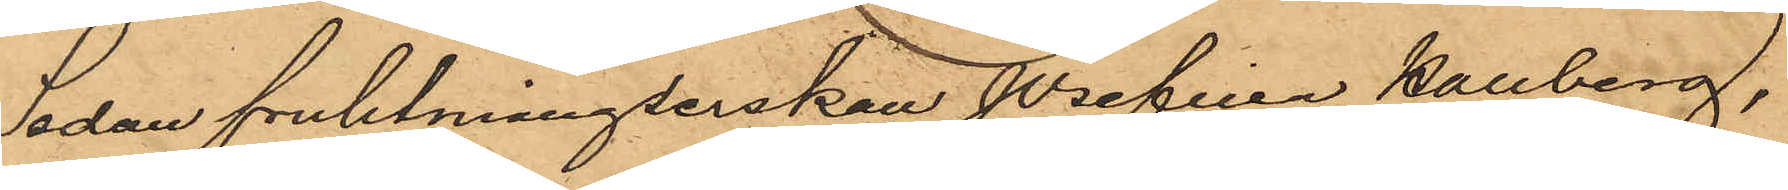Sedan fruktmånglerskan Josefina Hallberg,
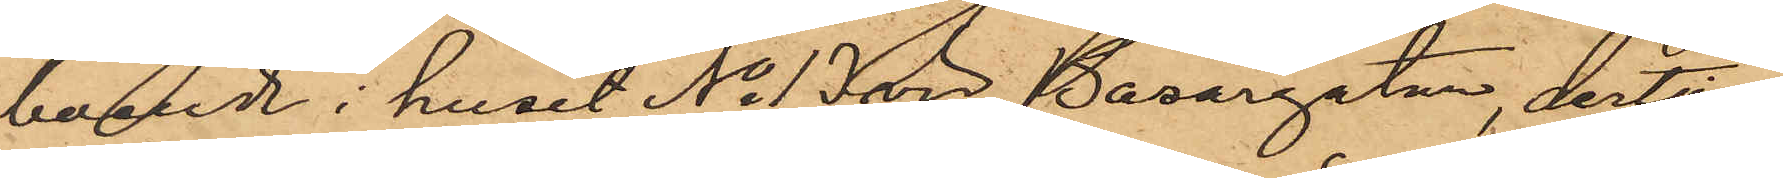boende i huset No 13 vid Bazargatan, dertill
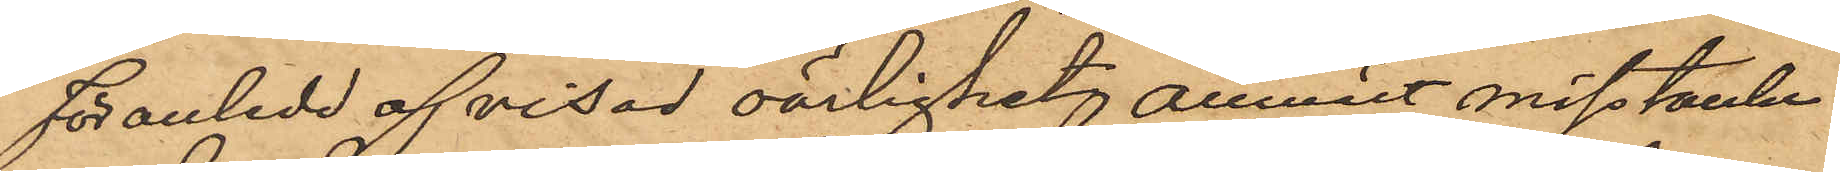föranledd af visad oärlighet, anmält misstanken
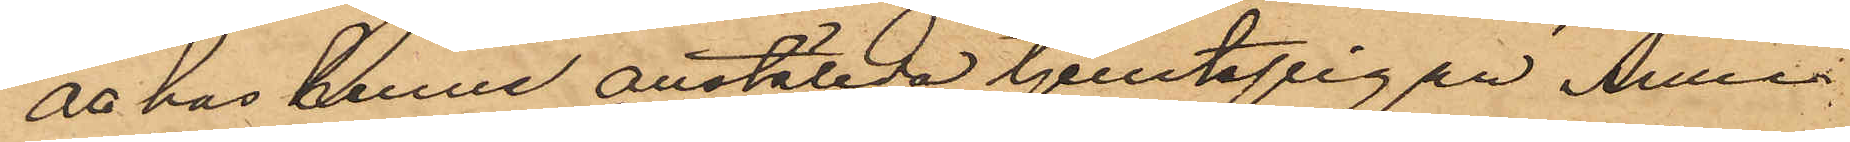att hos henne anställda tjenstepigan Anna
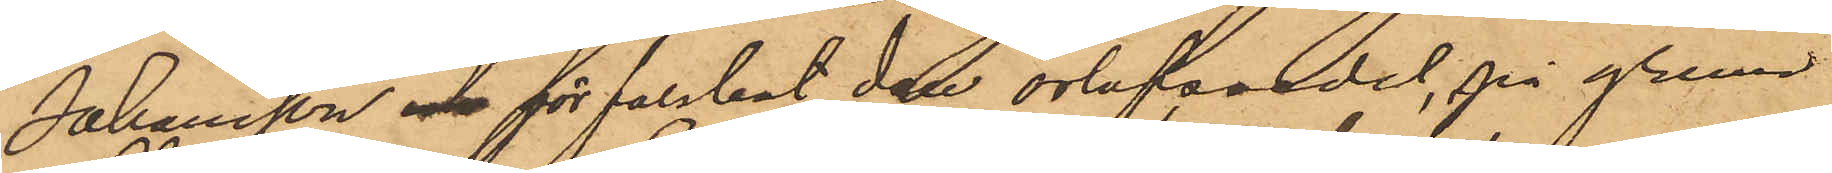Johansson och förfalskat den orlofssedel, på grund
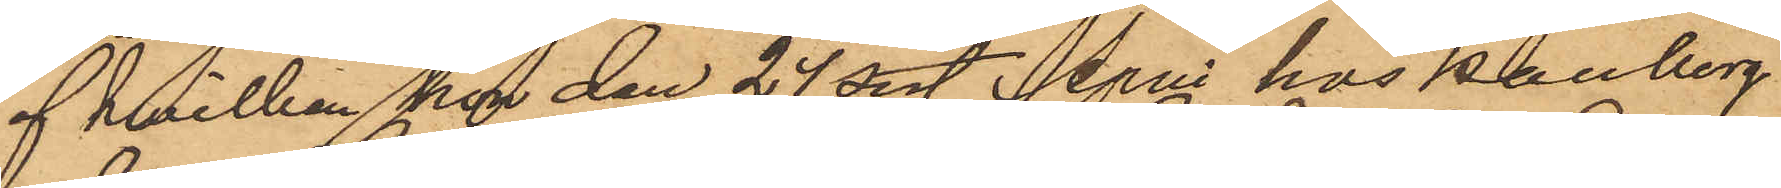af hvilken  hon den 24 sist. April hos Hallberg
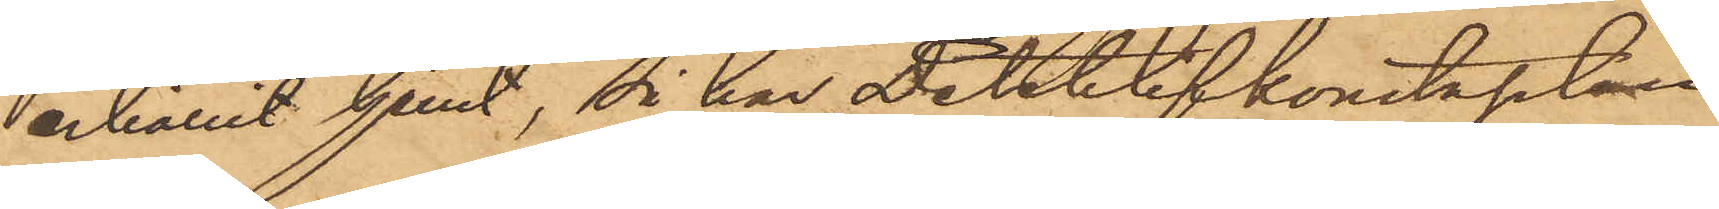erhållit tjenst, så har Detektivkonstapeln
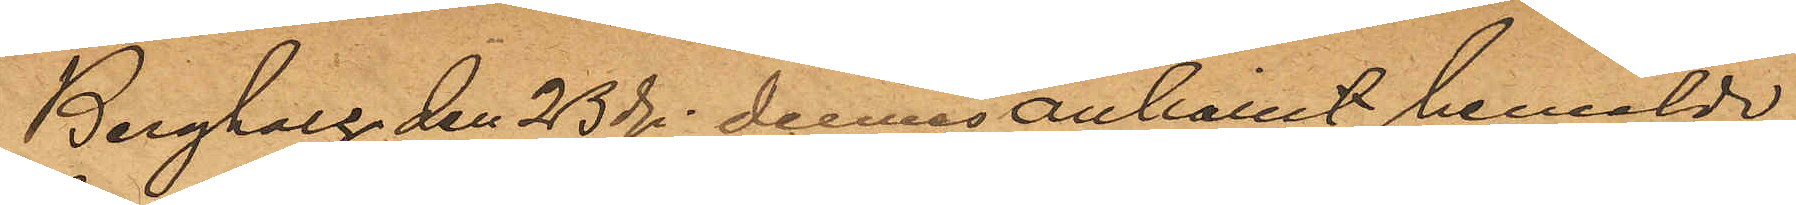Bergholtz den 23de dennes anhållit bemälda
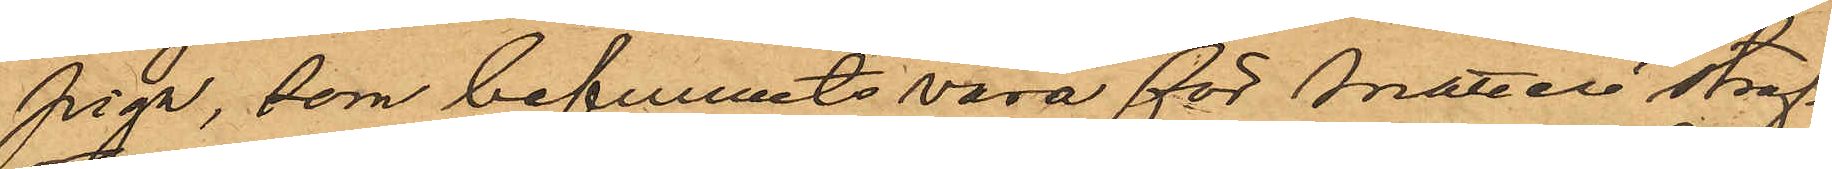piga, som befunnits vara för snatteri straf¬
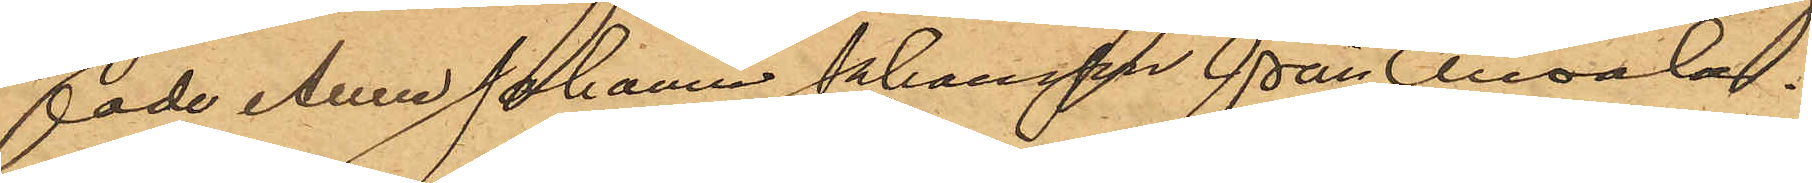fade Anna Johanna Johansson från Onsala.
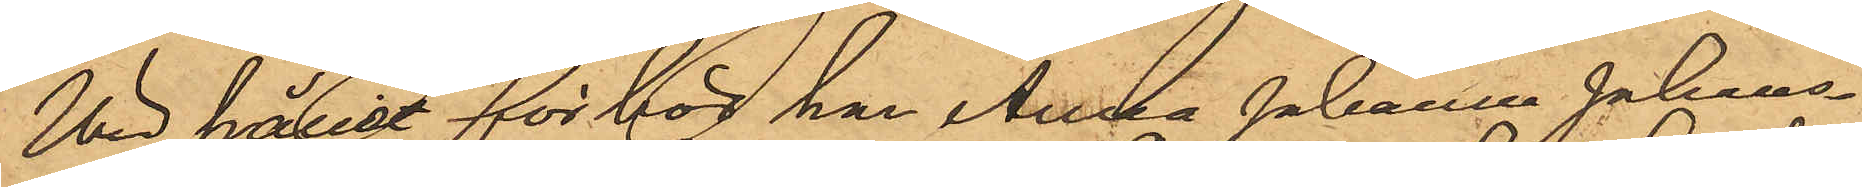Wid hållet förhör han Anna Johanna Johans¬
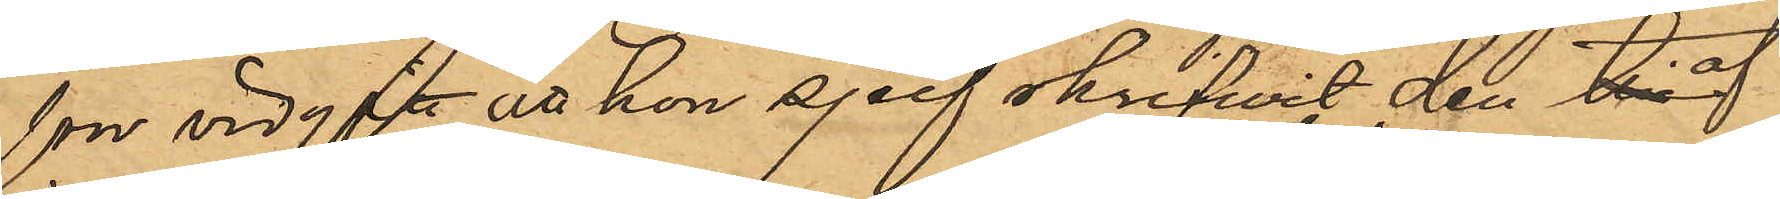son vidgått att hon sjelf skrifvit den af
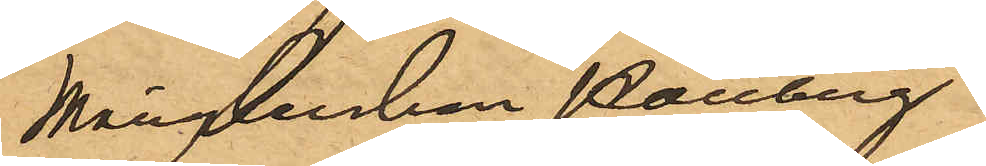Månglerskan Hallberg.
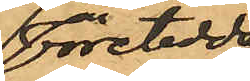företedda
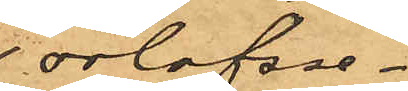orlofsse¬.
